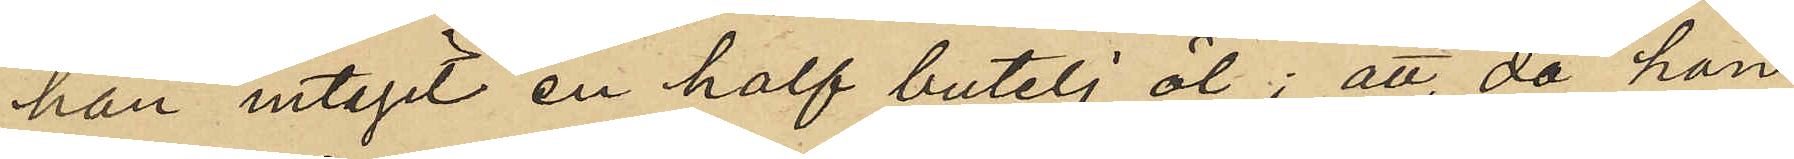han intagit en half butelj öl; att, då han
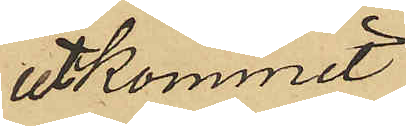utkommit
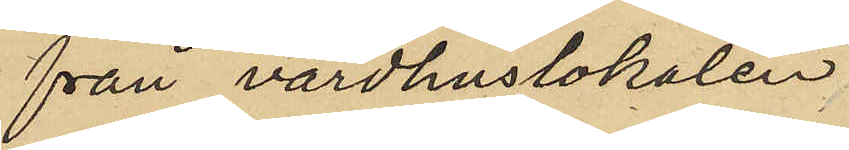från värdhuslokalen
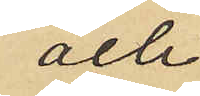och
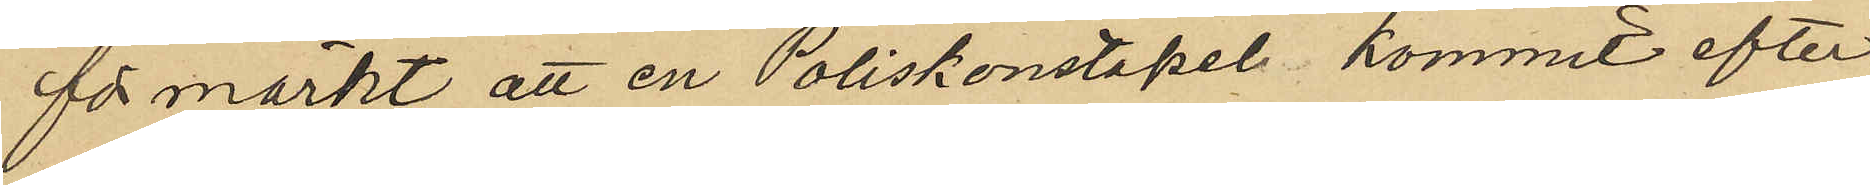förmärkt att en Poliskonstapel kommit efter
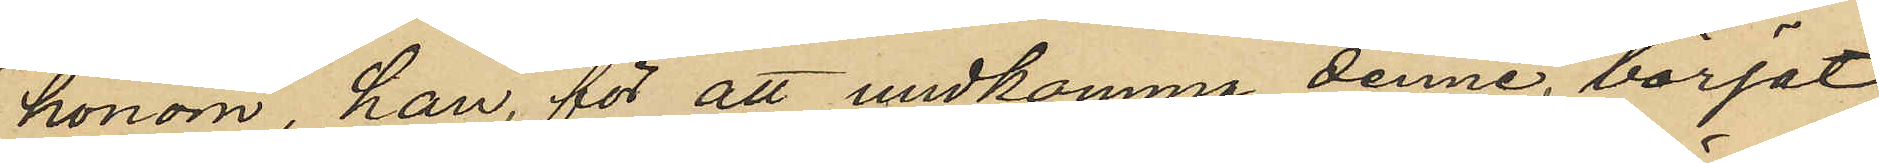honom, han för att undkomma denne, börjat
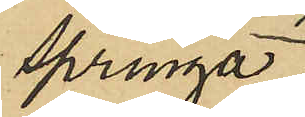springa;
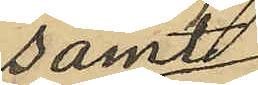samt
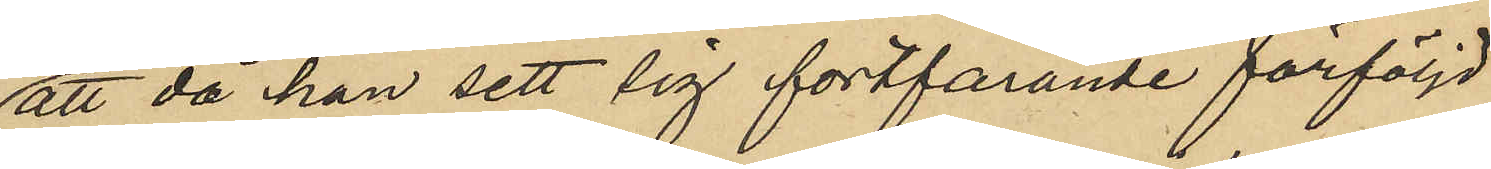att då han sett sig fortfarande förföljd
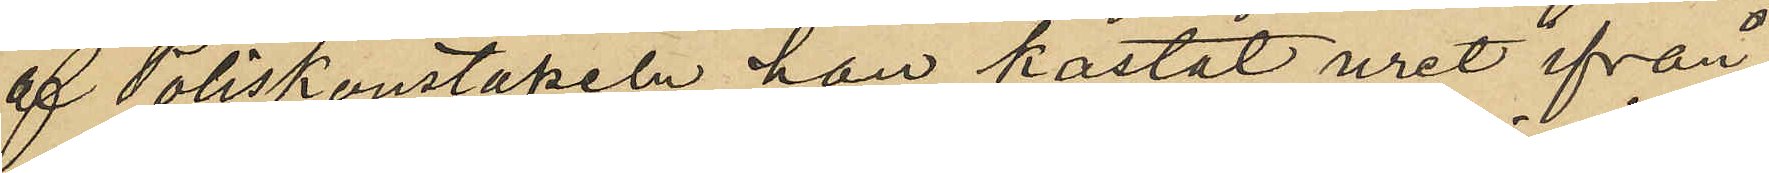af Poliskonstapeln han kastat uret ifrån
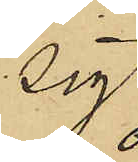sig
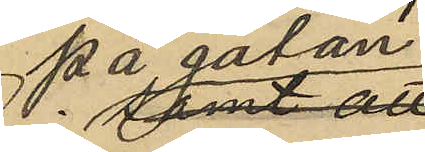på gatan.
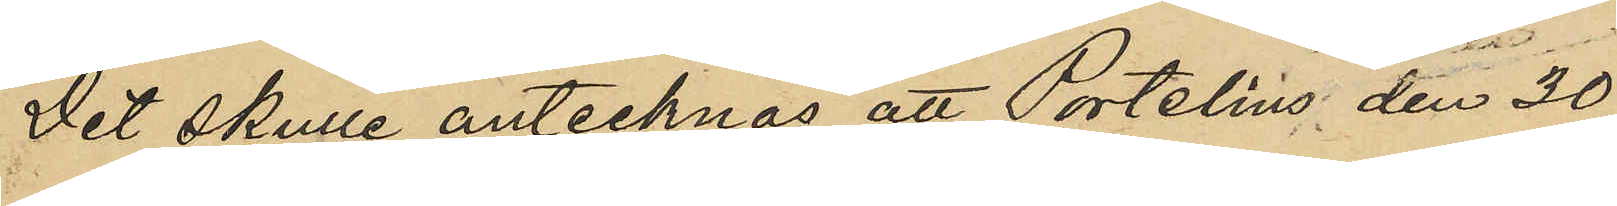Det skulle antecknas att Portelius den 30
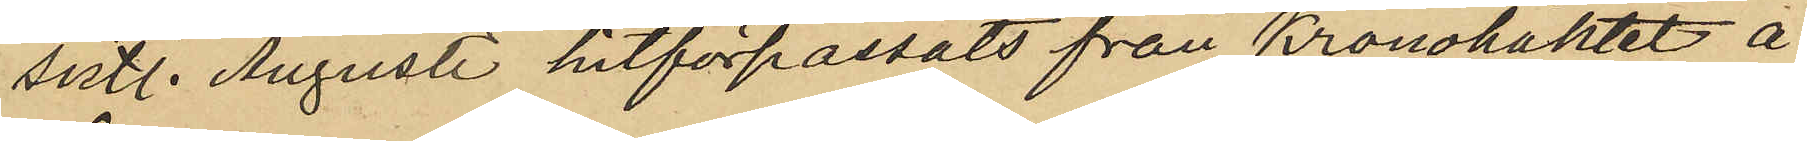sistl. Augusti hitförpassats från Kronohäktet å
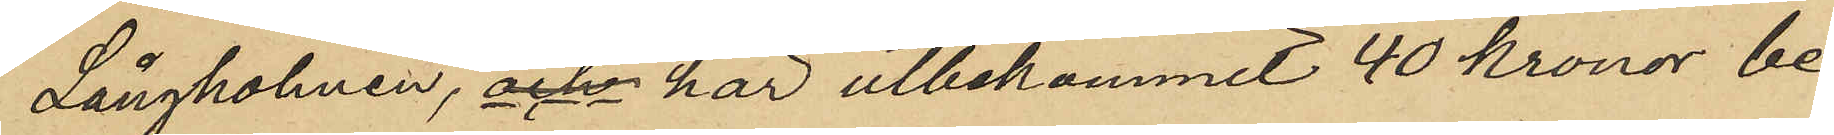Långholmen, och har utbekommit 40 kronor be¬
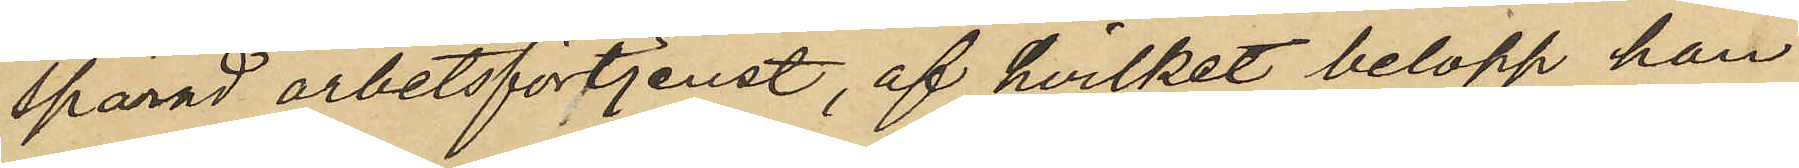sparad arbetsförtjenst, af hvilket belopp han
